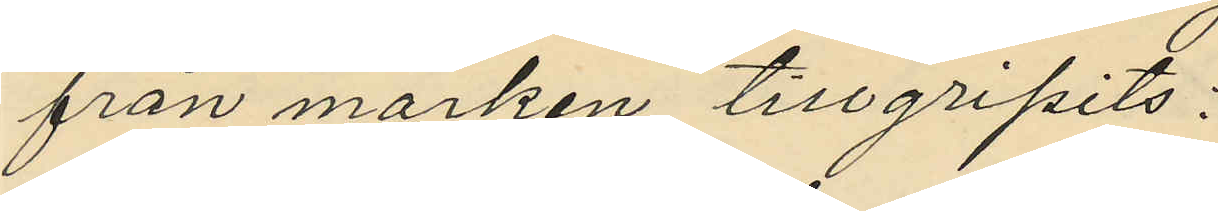från marken, tillgripits:
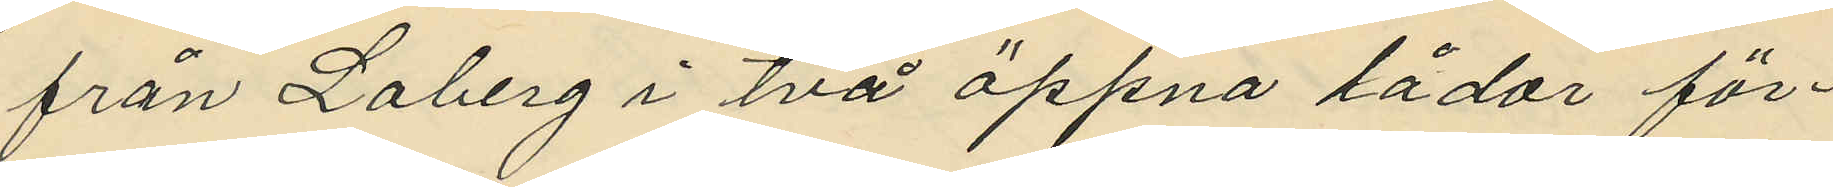från Loberg i två öppna lådor för¬
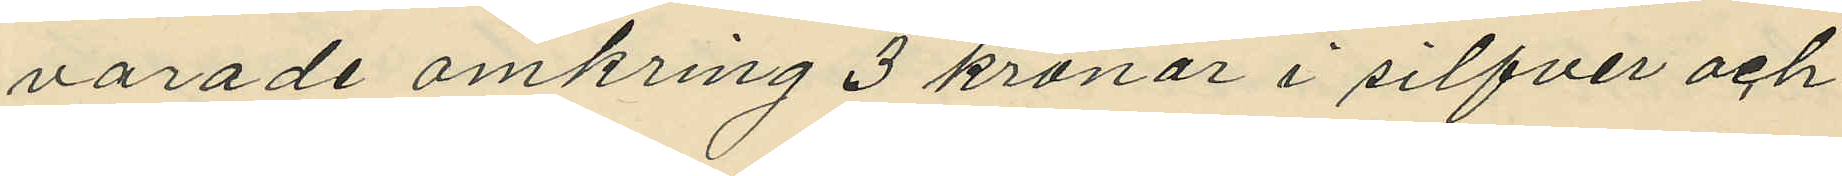varande omkring 3 kronor i silfver och
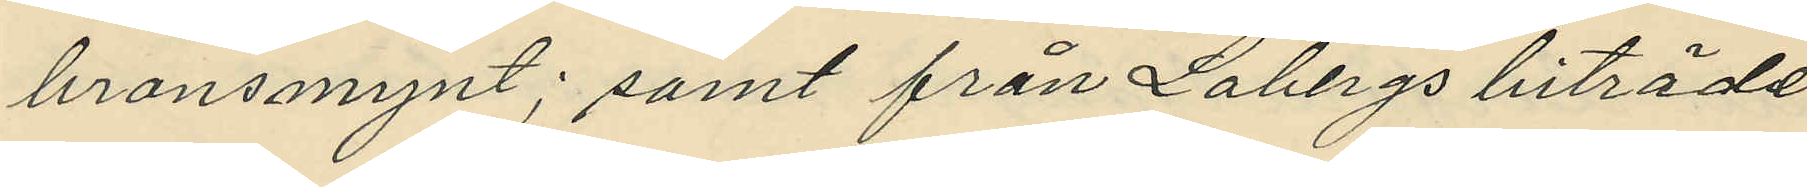bronsmynt; samt från Lobergs biträde
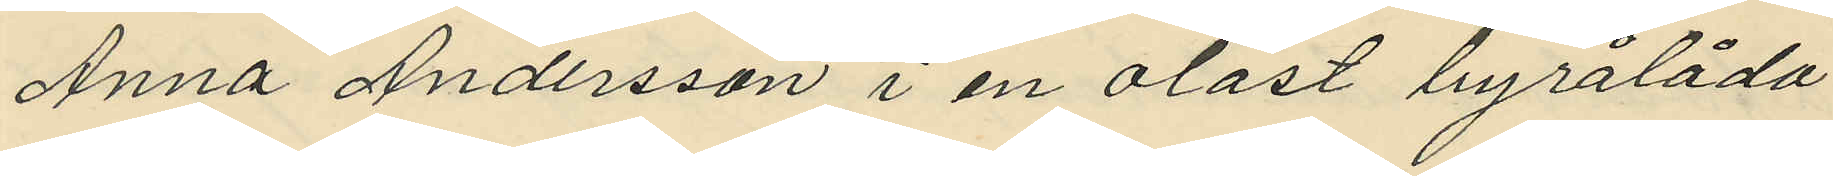Anna Andersson i en olåst byrålåda
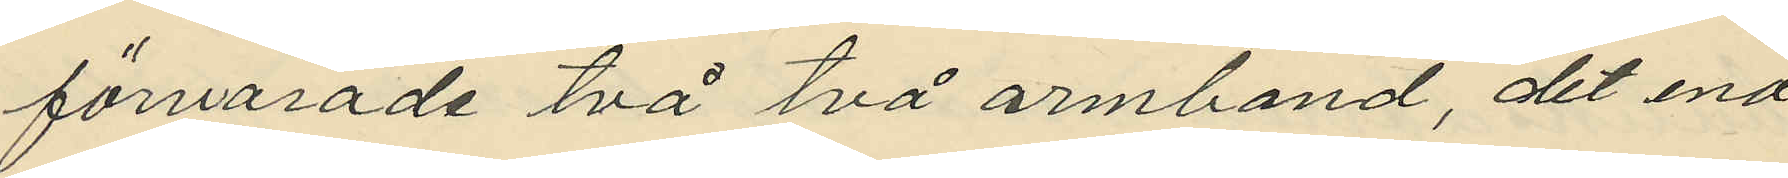förvarade två två armband, det ena
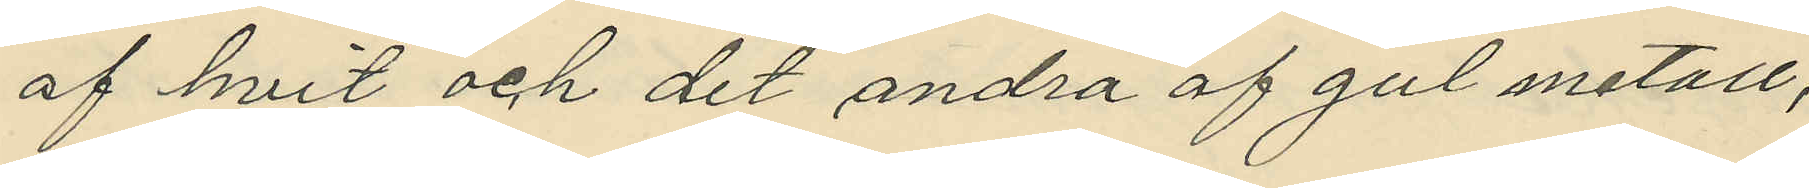af hvit och det andra af gul metall,
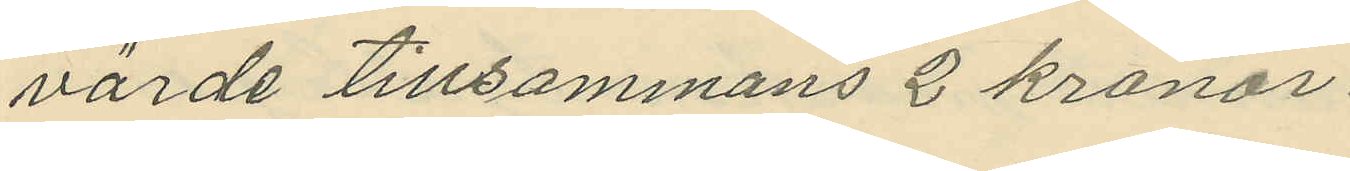värde tillsammans 2 kronor.
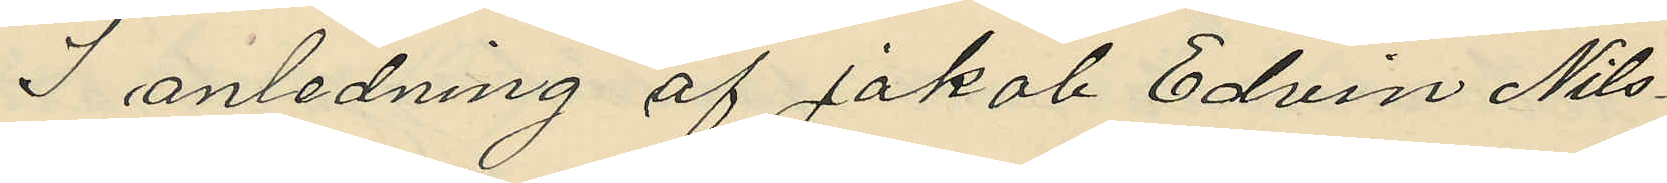I anledning af Jakob Edvin Nils¬
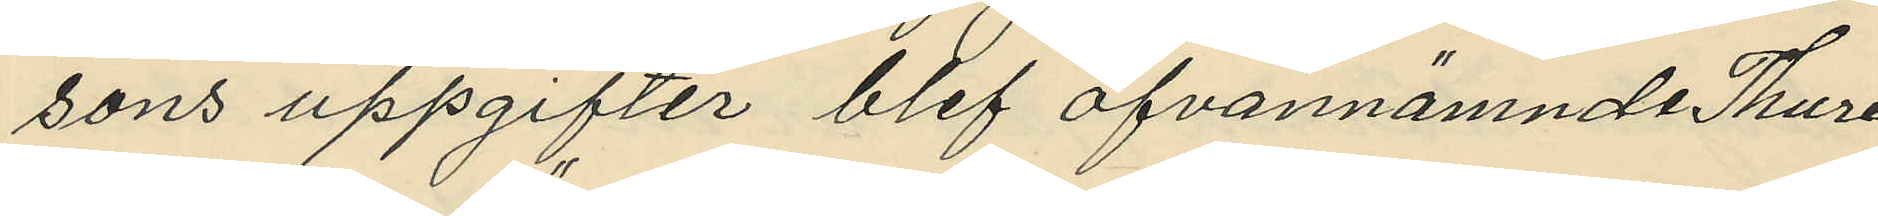sons uppgifter blef ofvannämnde Thure
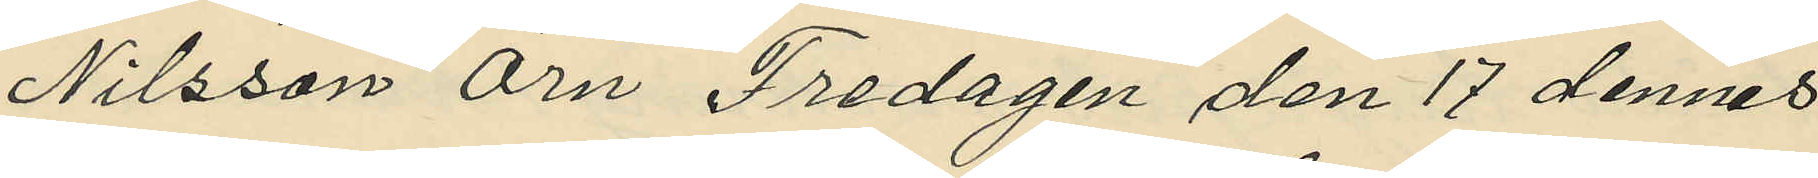Nilsson Örn Fredagen den 17 dennes
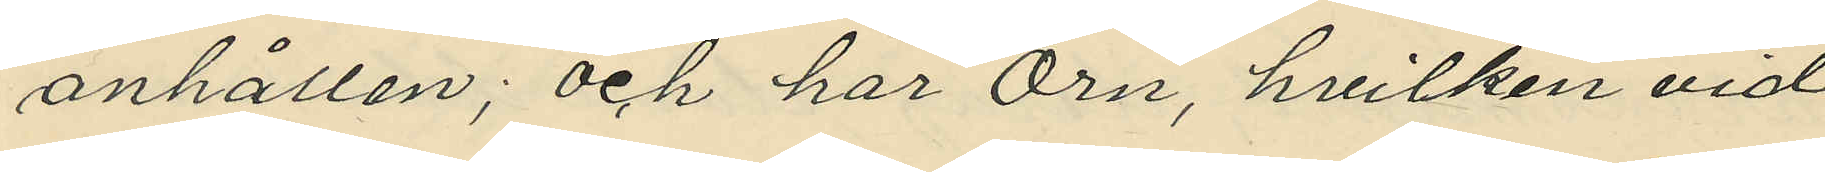anhållen; och har Örn, hvilken vid
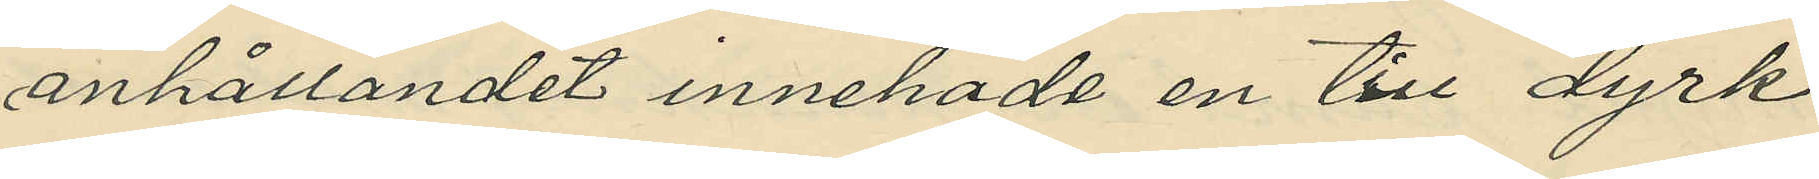anhållandet innehade en till dyrk
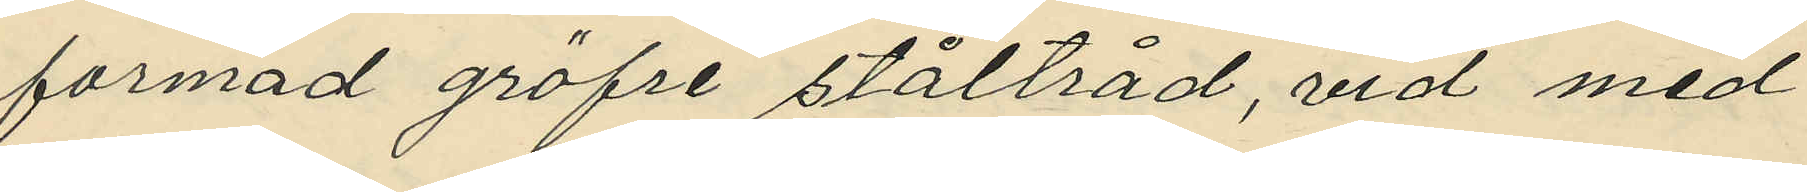formad gröfre ståltråd, vid med
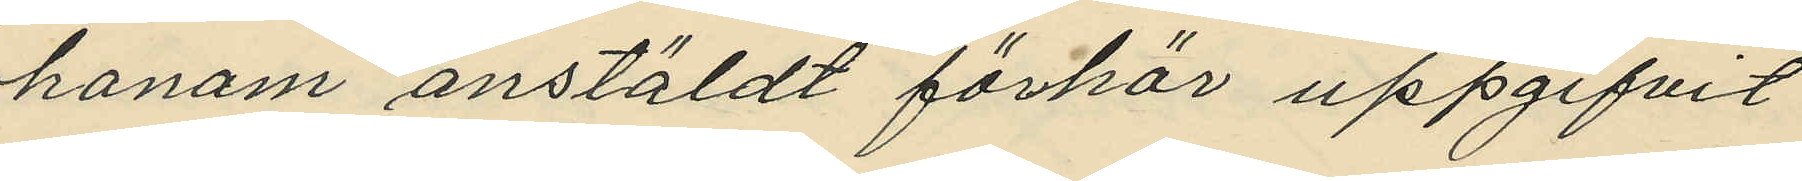honom anstäldt förhör uppgifvit
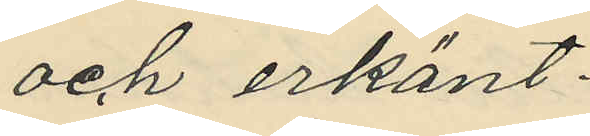och erkänt:
